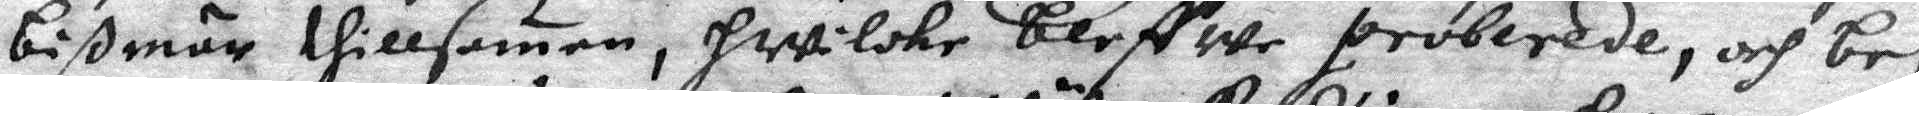bißmär thillsamen, hwilcke bleffwe proberade, och be¬
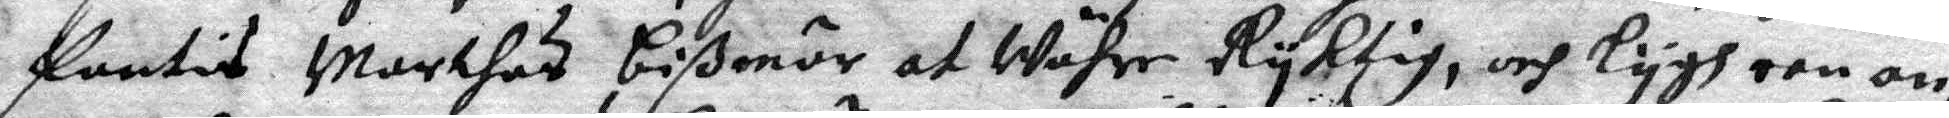fantis Marthes bißmör at Währe Ryktig, och lygh een an¬
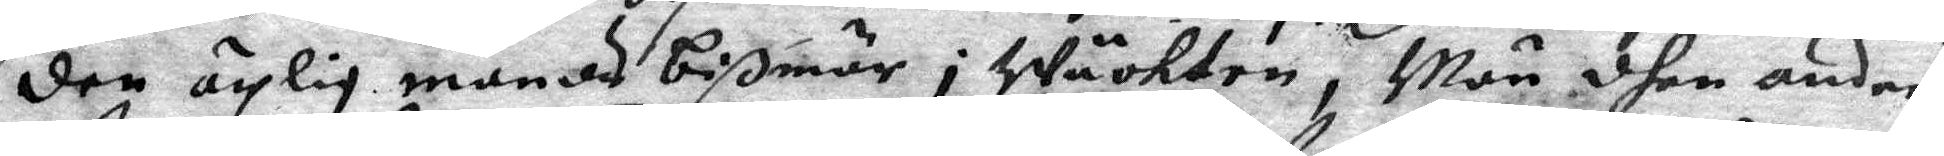den ärlig mands bißmär i Wäckten, Men dhen andre
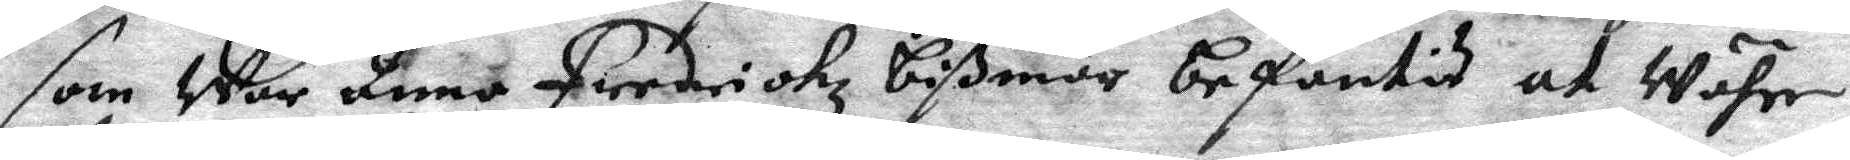som War Anna ferdrichz bißmör befantis at Währe
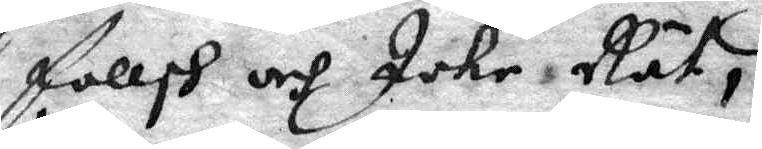fallsk och Icke Rät,
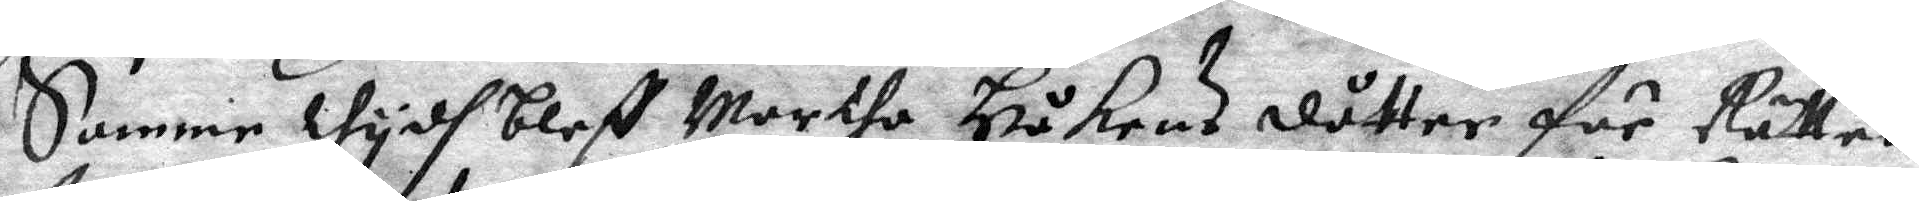Samme thydh bleff Marthe Håkans dåtter för Rätten
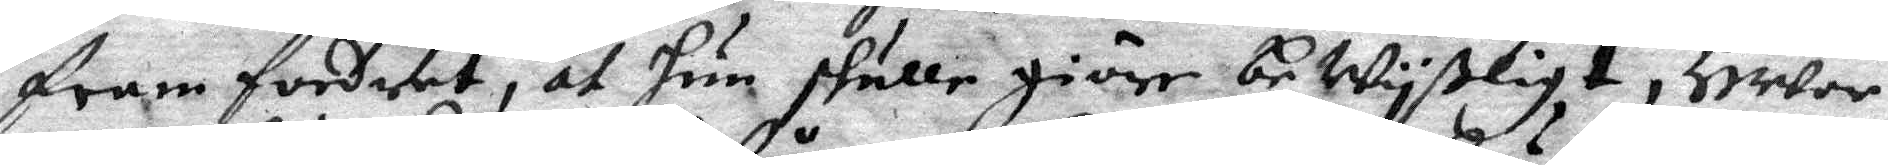fram fordrat, at hun skulle giöre bewyßligt, Hwar
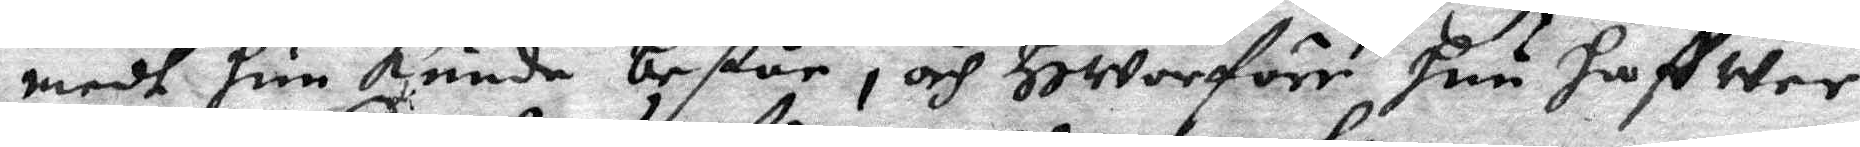medh hun kunde består, och Hwarföre hun haffwer
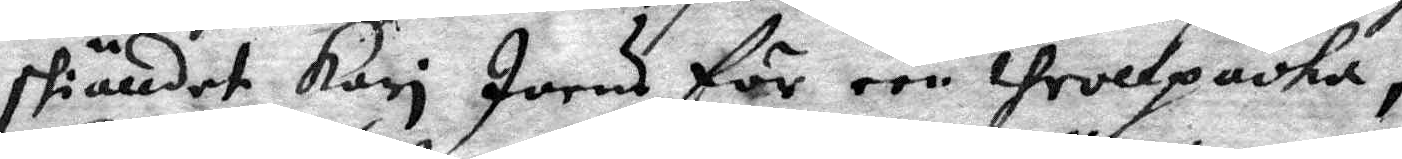skiälldet Kari Joens för een throllpacka,
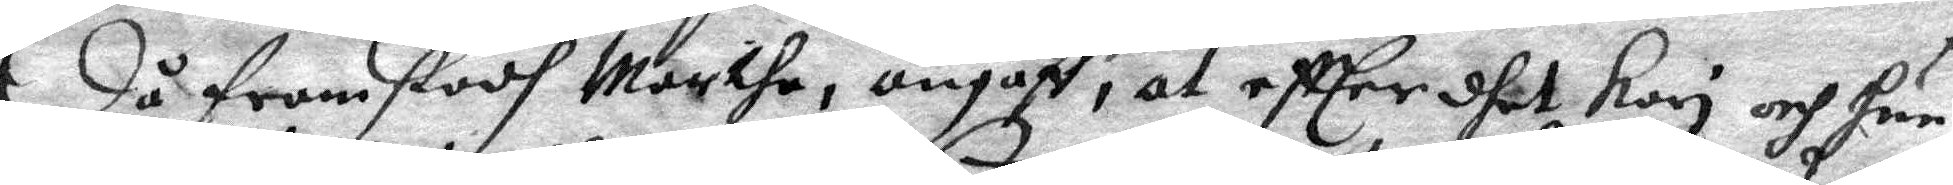 Då framstodh Marthe, angaff, at effter dhet Kari och hun
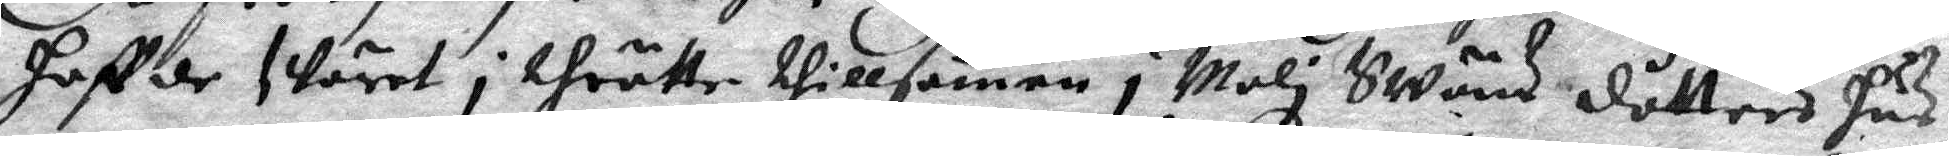haffde swäret i thrätte tillsamen i Mali Swäns dåtters hus
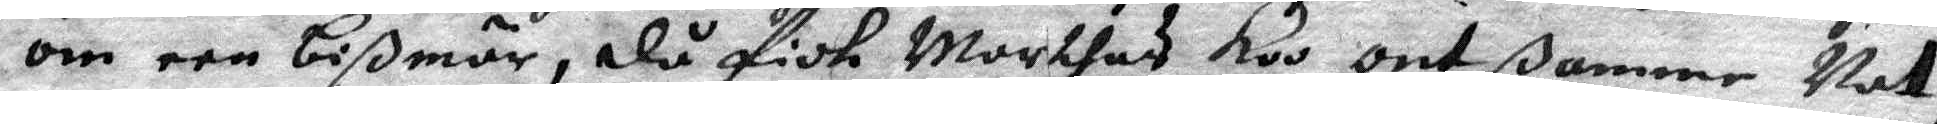om een bißmör, då fick Marthas koo ont ßamme Nat,
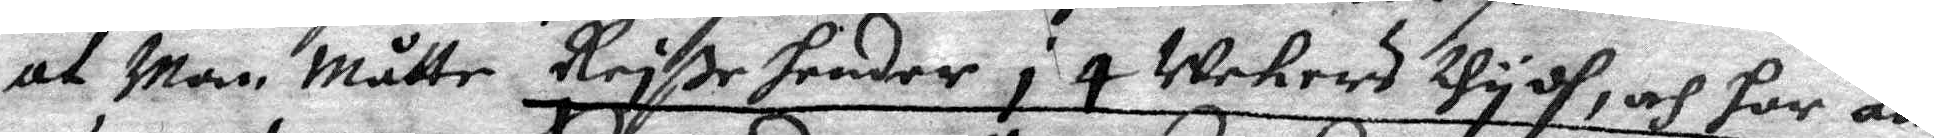at Man Måtte Reiße hender i 4 Wekers thydh, och har än¬
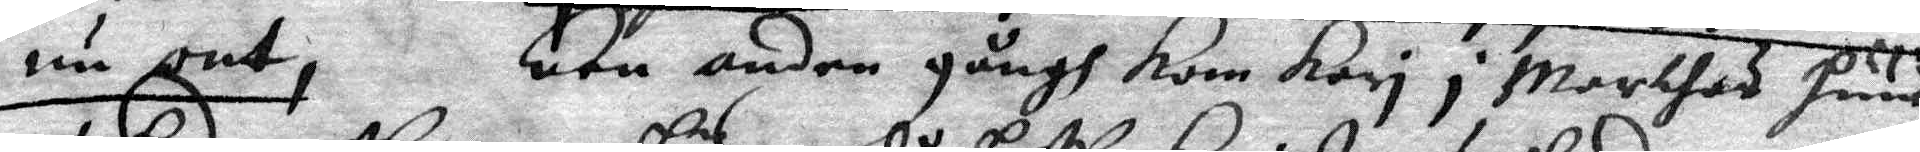nu ont, Een anden gångh kom Kari i Marthas huus
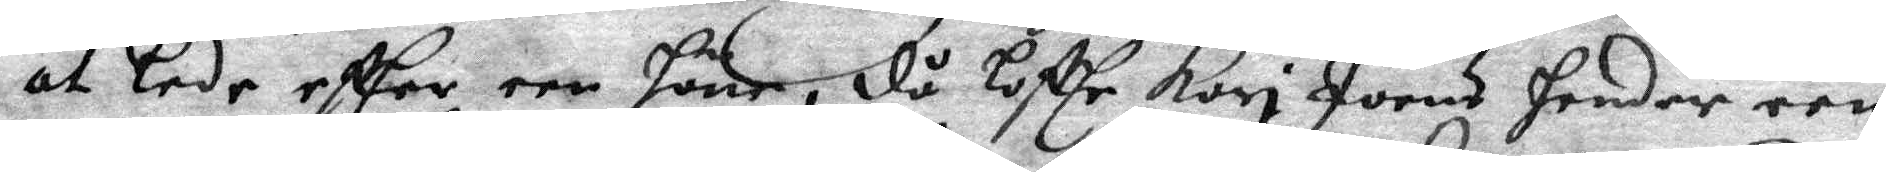at lede effter een höne, då loffr Kori Joens hender een
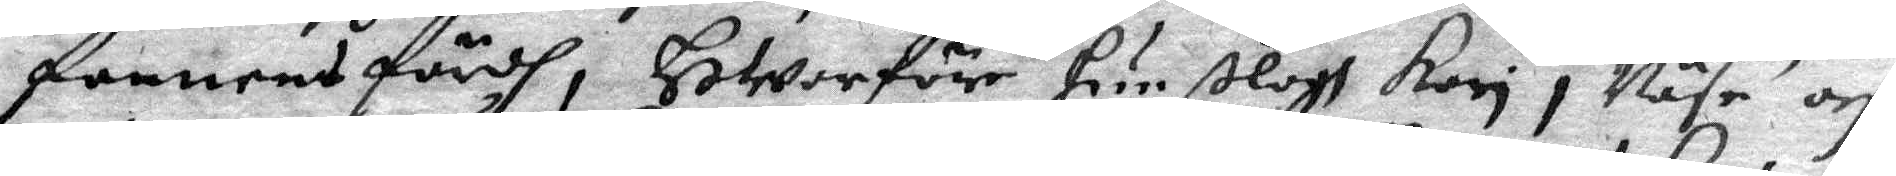fannens färdh, Hwarföre hun ßlogh Kori i Näse och
